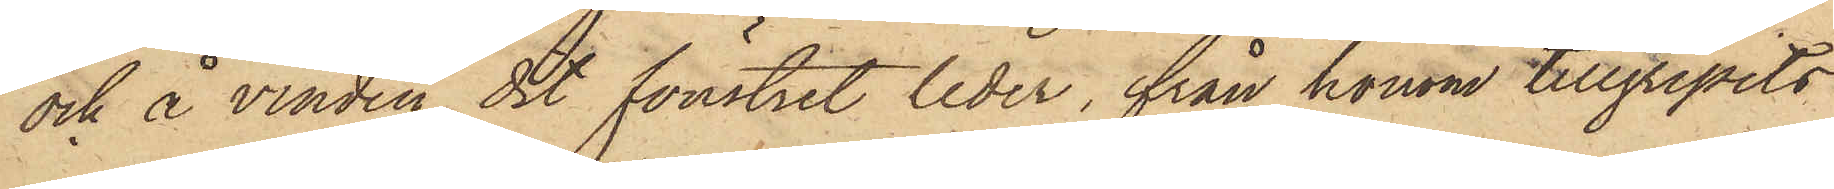och å vinden, dit fönstret leder, från honom tillgripits
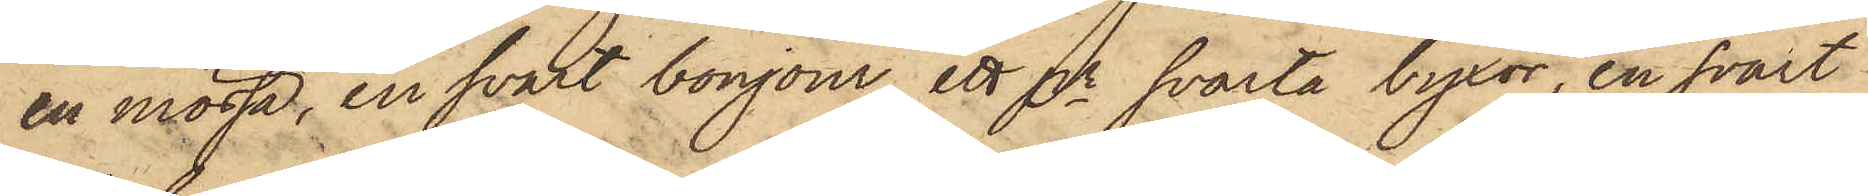en mössa, en svart bonjour, ett pr svarta byxor, en svart
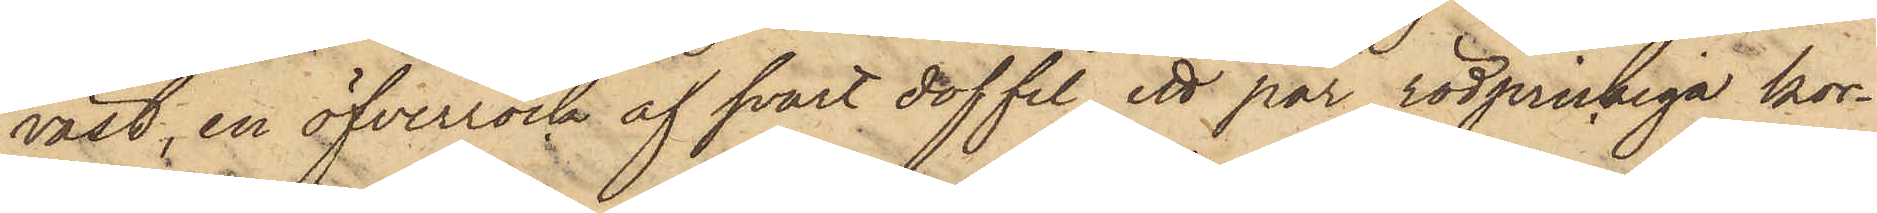väst, en öfverrock af svart doffel, ett par rödprickiga kor¬
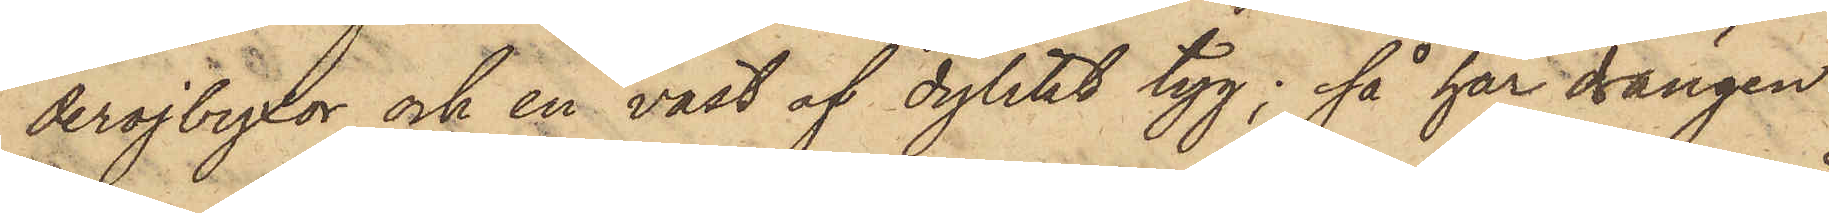derojbyxor och en väst af dylikt tyg; så har drängen
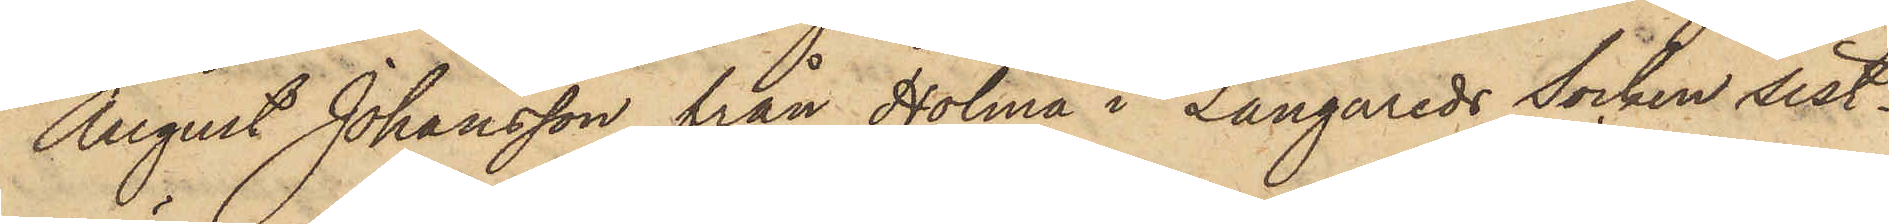August Johansson från Holma i Långareds Socken sist¬
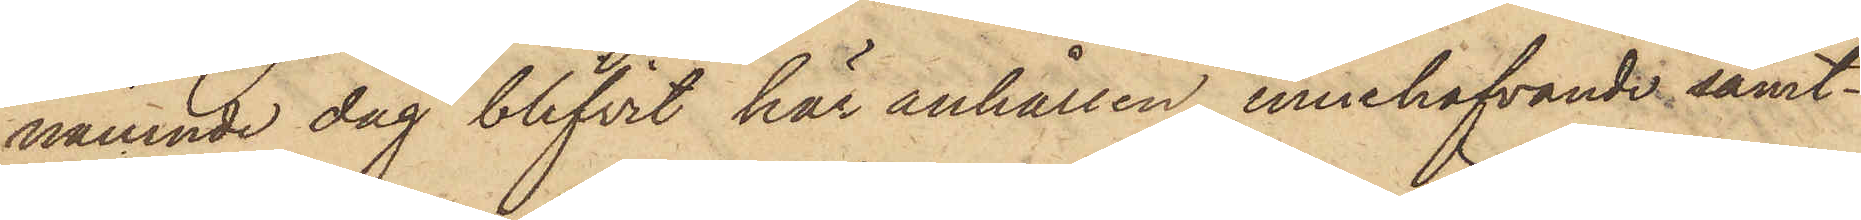nämnde dag blifvit här anhållen, innehafvande samt¬
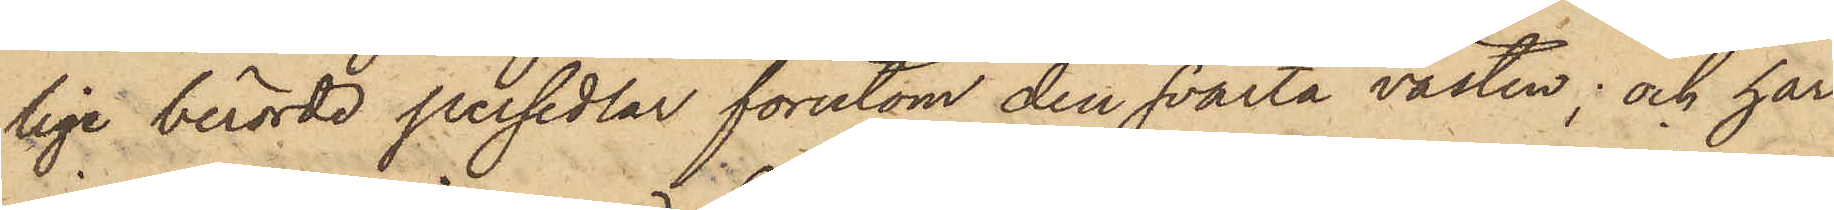lige berörde persedlar förutom den svarta västen; och har
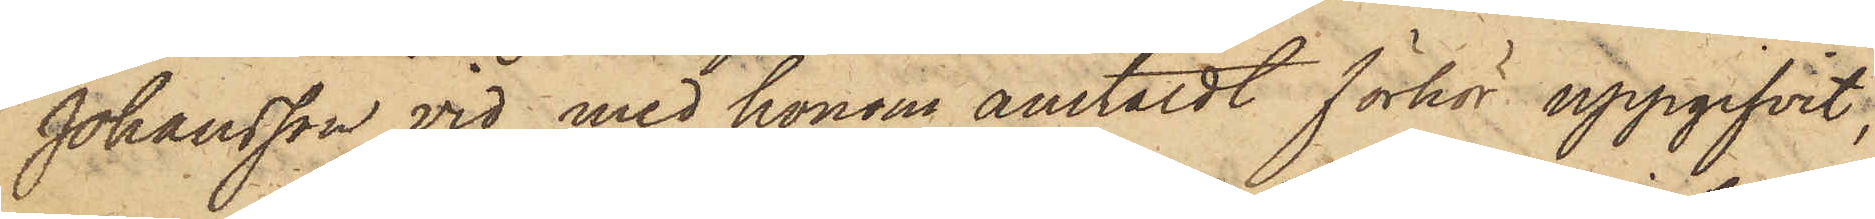Johansson vid med honom anstäldt förhör uppgifvit,
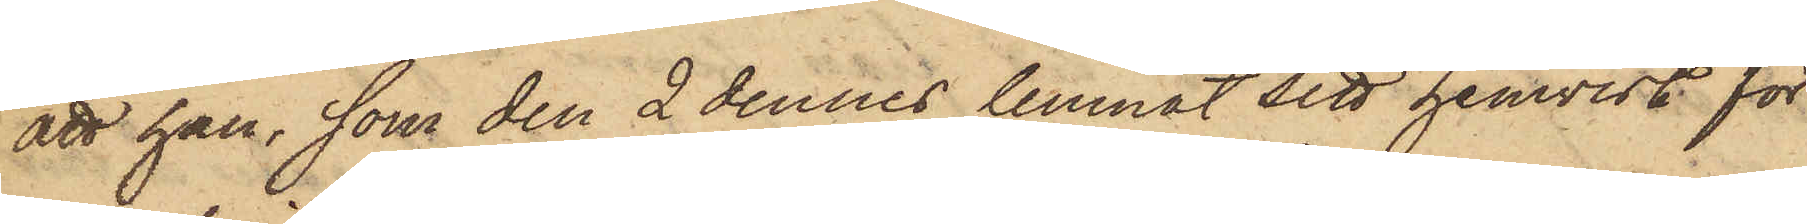att han, som den 2 dennes lemnat sitt hemvist för
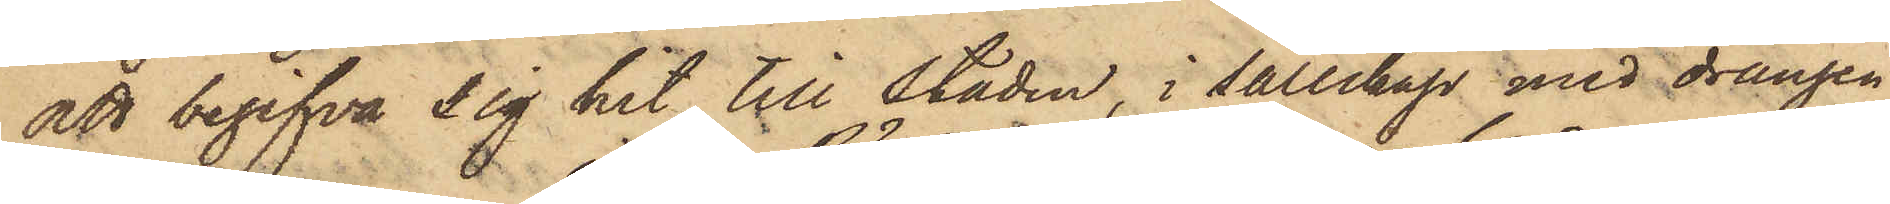att begifva sig hit till staden, i sällskap med drängen
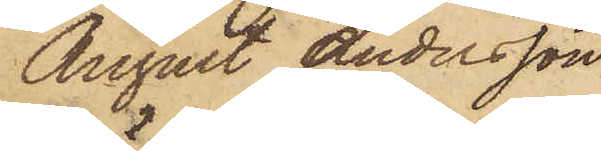August Andersson
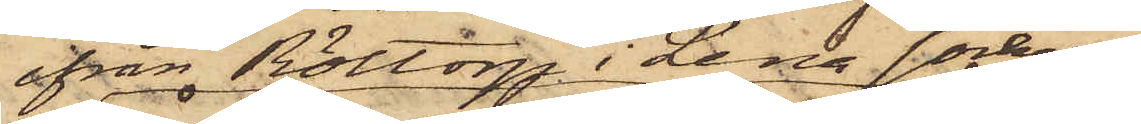ifrån Röttorp i Lena socken
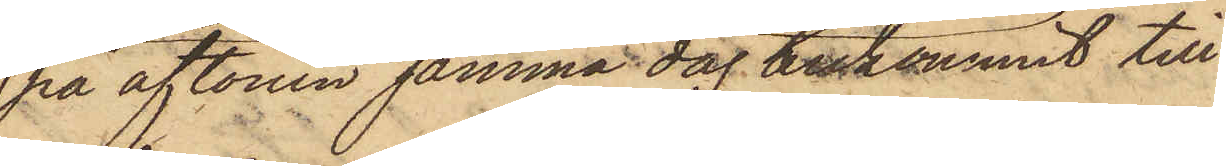på aftonen samma dag ankommit till
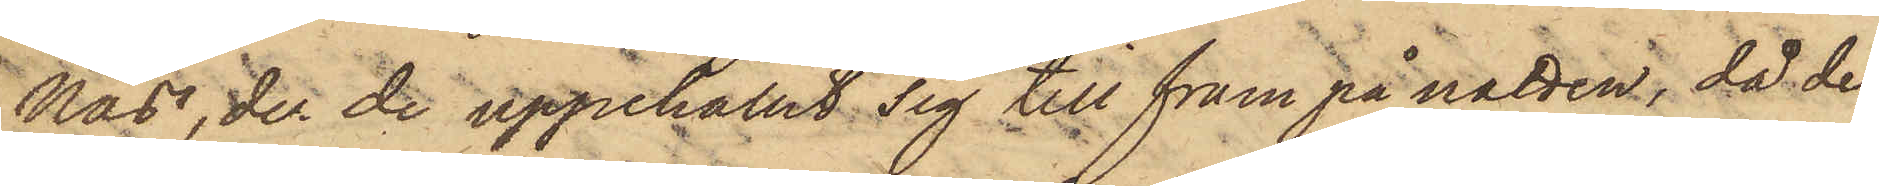Näs, der de uppehållit sig till fram på natten, då de
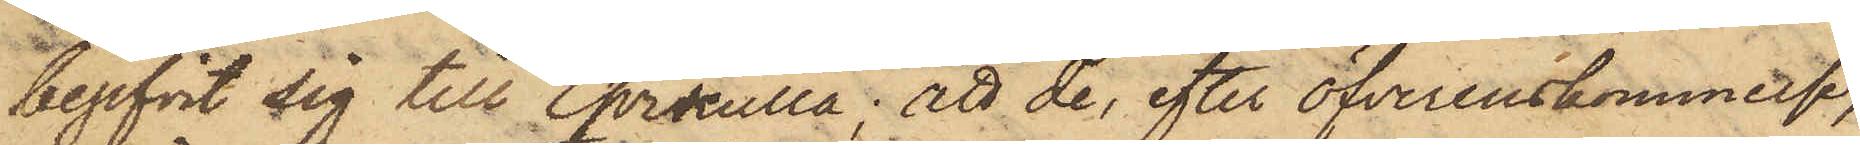begifvit sig till Qvikulla; att de, efter öfverenskommelse,
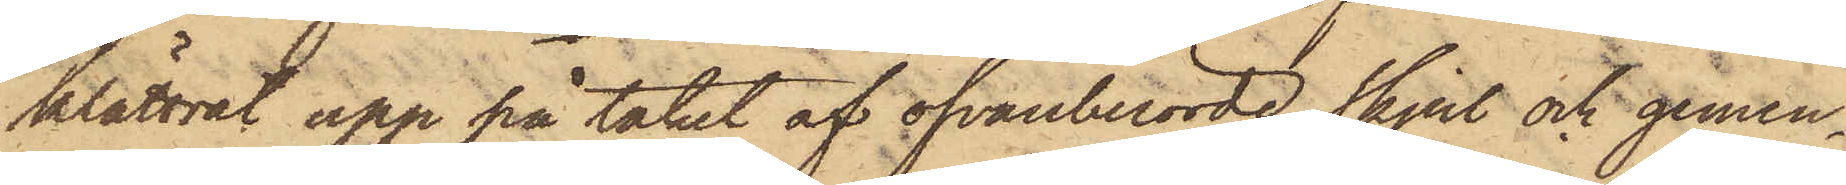klättrat upp på taket af ofvanberörde skjul och gemen¬
